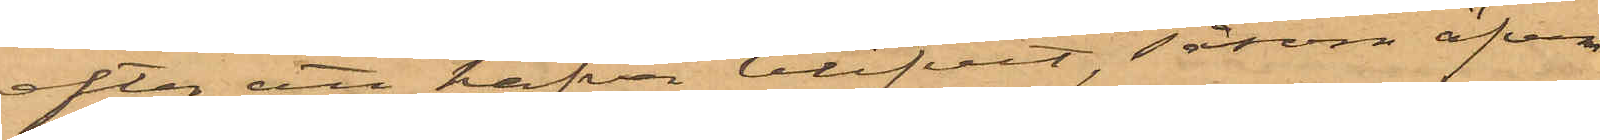efter att hafva blifvit, såsom äfven
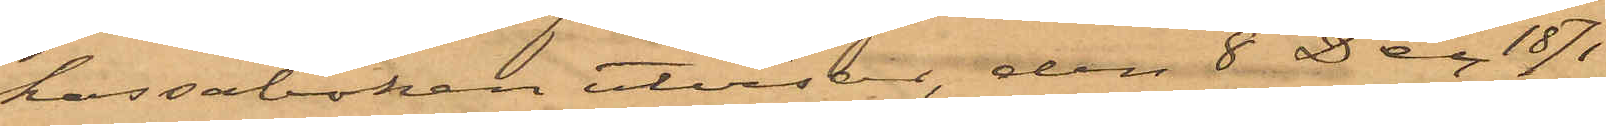kassaboken utvisar, den 8 Dec 1871
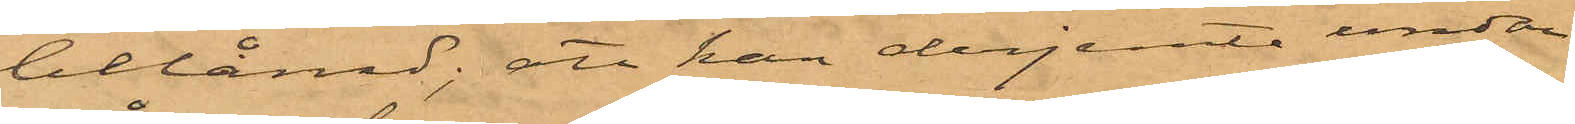belånad; att han derjemte undan¬
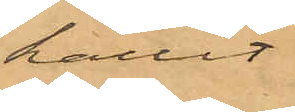hållit
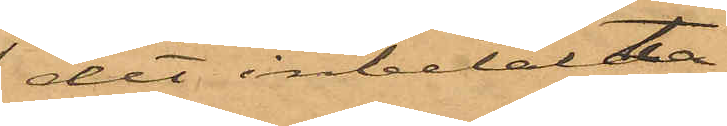det inbetalda
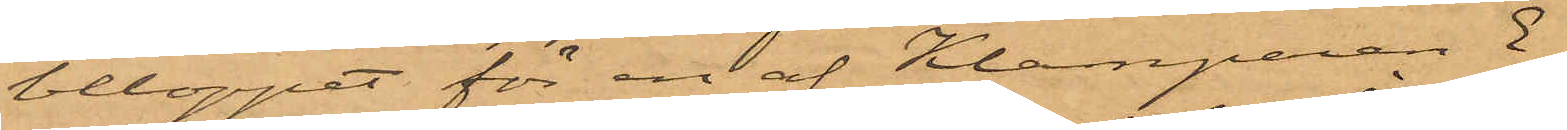beloppet för en af Klamparen E.
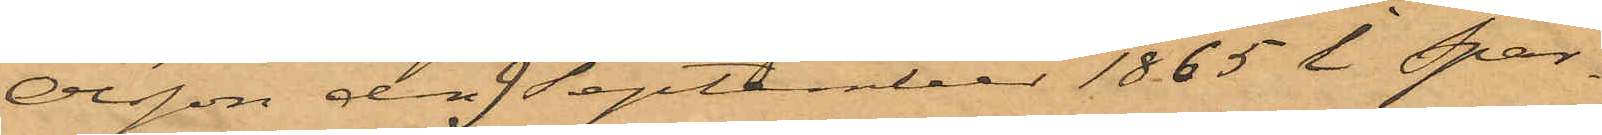Olsson den 9 September 1865 i Spar¬
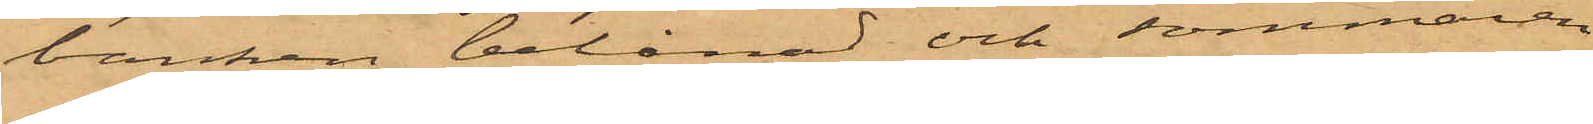banken belånad och sommaren
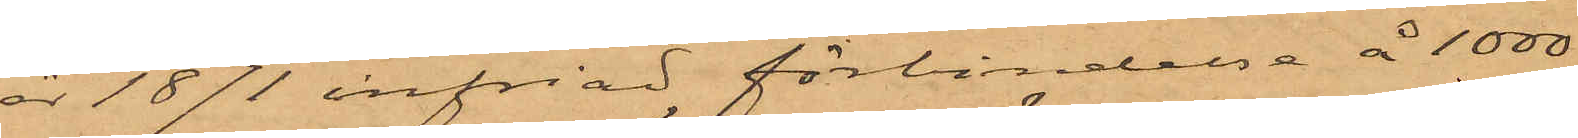år 1871 infriad förbindelse å 1000
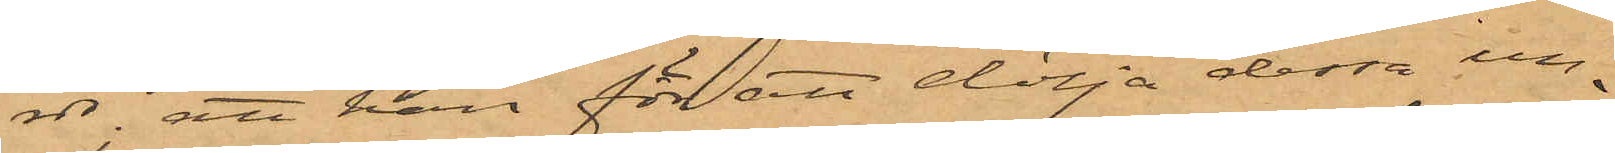rdr; att han för att dölja dessa un¬
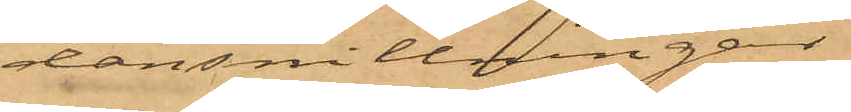dansnillningar
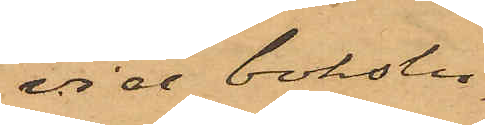vid bokslu¬
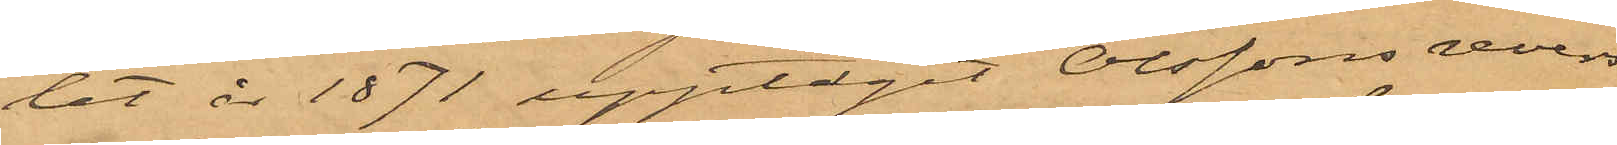tet år 1871 upptagit Olssons revers
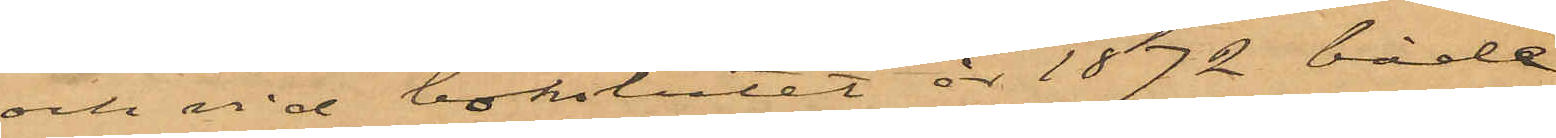och vid bokslutet år 1872 både
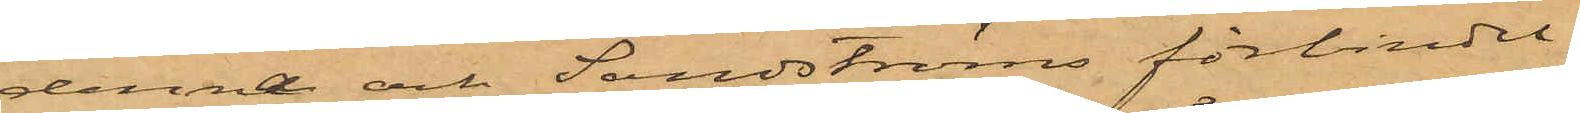denna och Sandströms förbindel¬
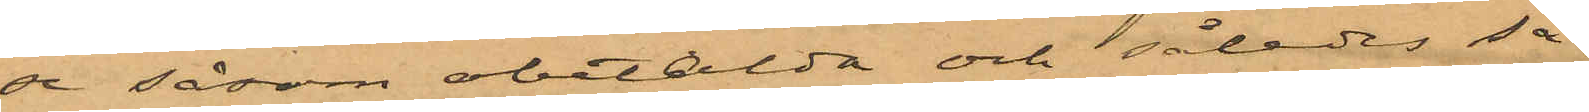de såsom obetalda och således så¬
